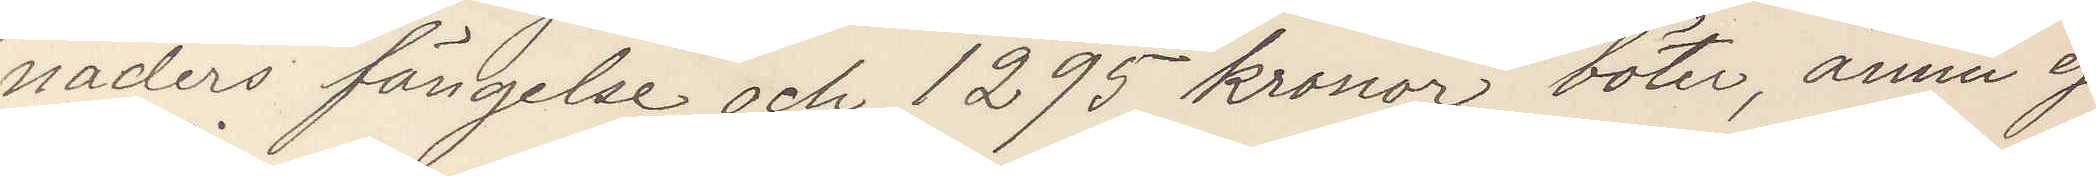naders fängelse och 1295 kronor böter, ännu ej
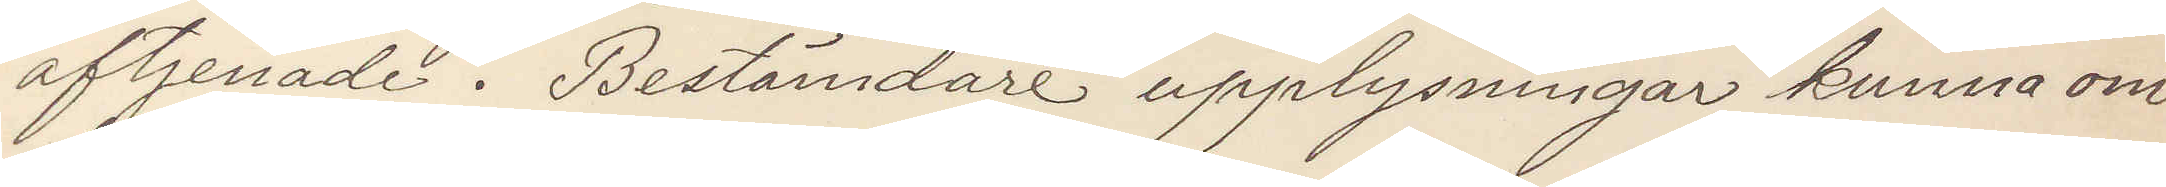aftjenade. Bestämdare upplysningar kunna om
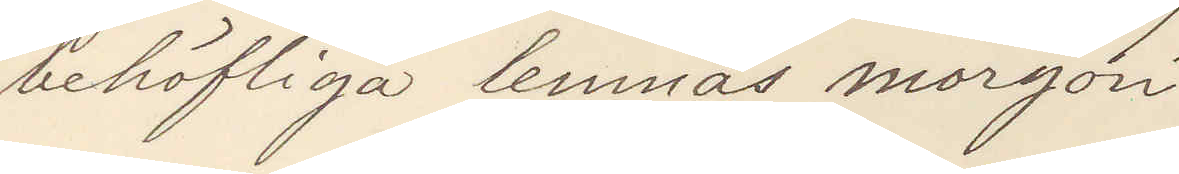behöfliga lemnas morgon.
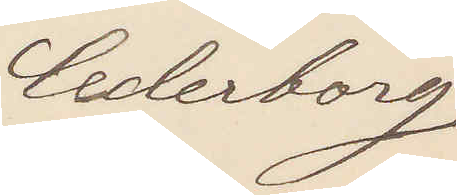Cederborg
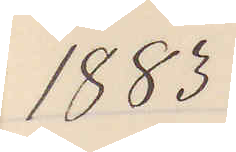1883
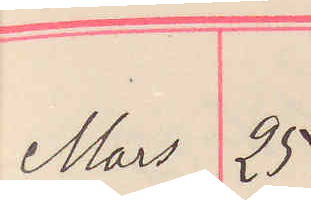Mars 25
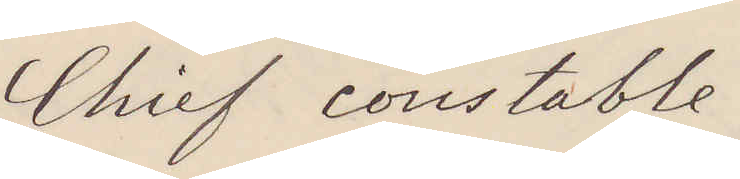Chief constable
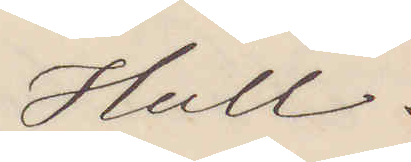Hull.
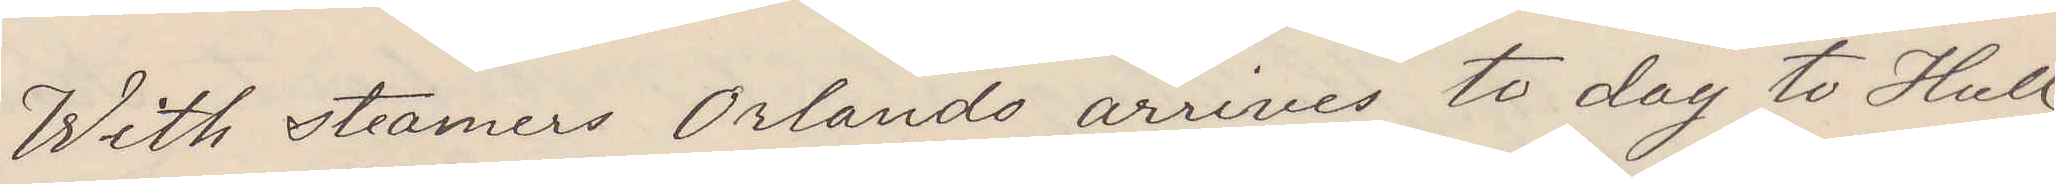With steamers Orlando arrives to day to Hull
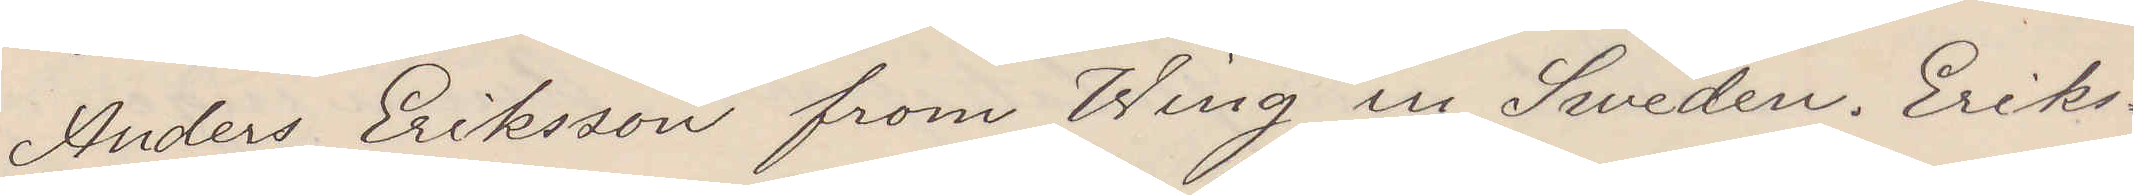Anders Eriksson from Wing in Sweden. Eriks¬
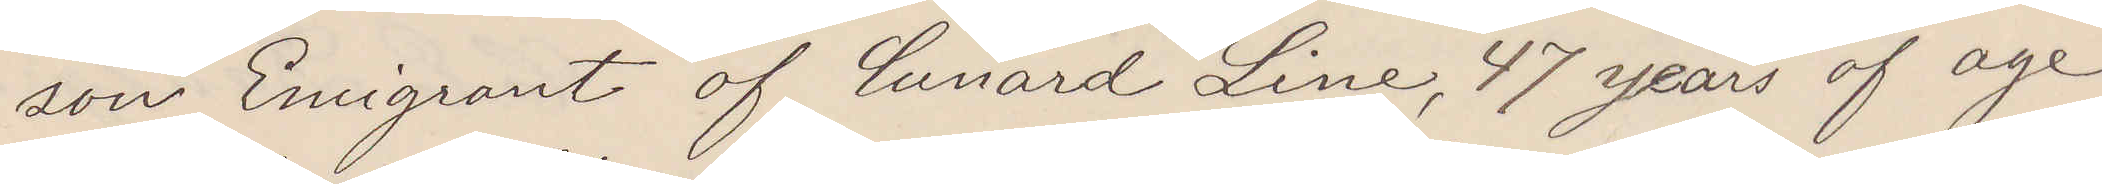son Emigrant of Cunard Line, 47 years of age
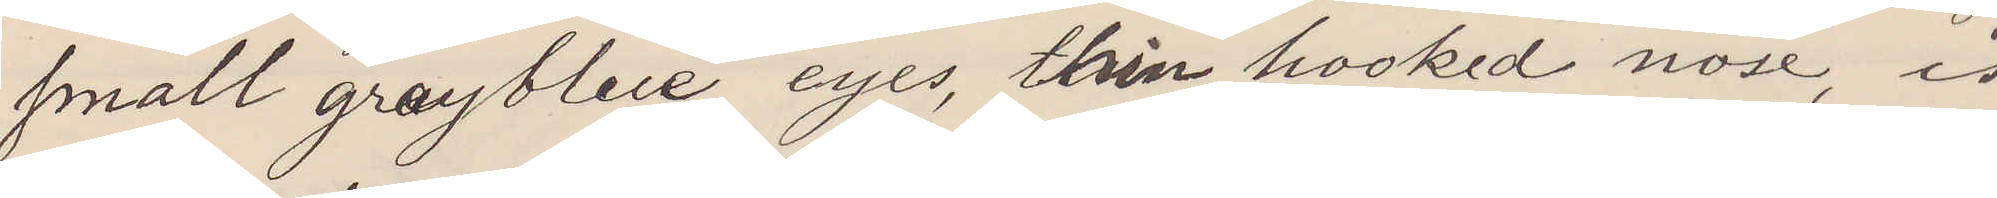small greyblue eyes, thin hooked nose, is
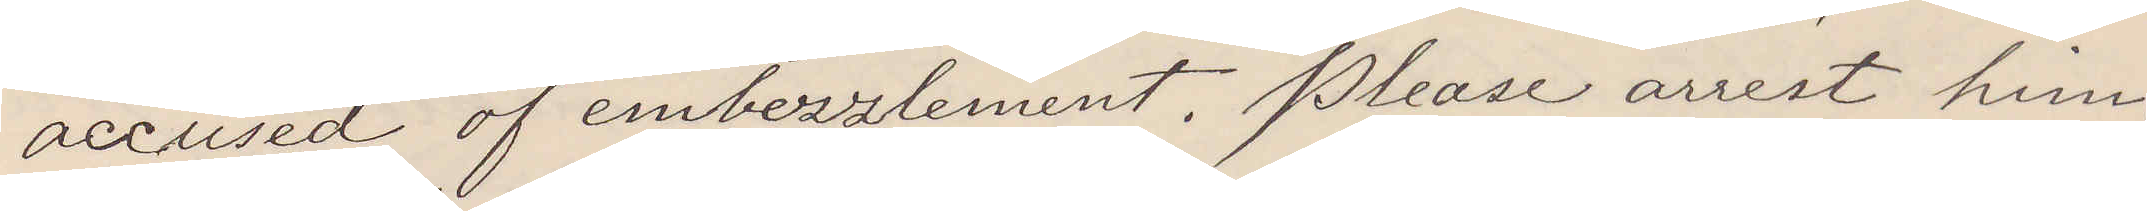accused of embezzlement. Please arrest him,
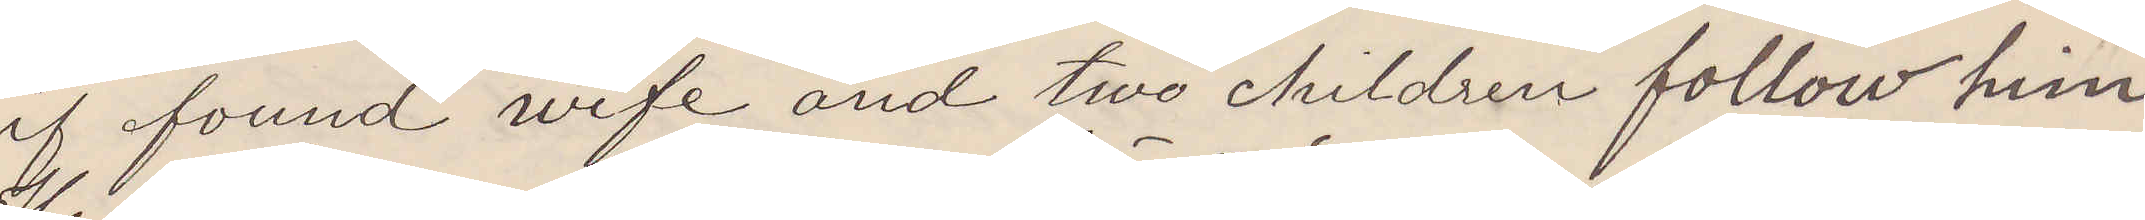if found wife and two children follow him.
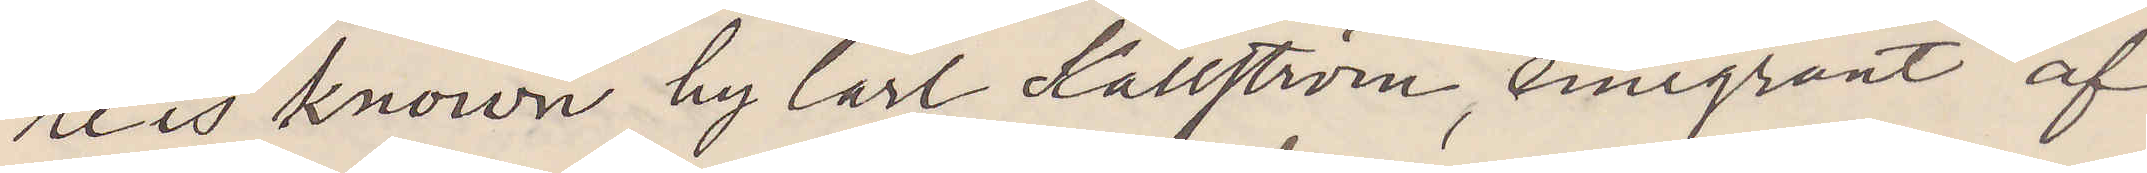He is known by Carl Källström, emigrant of
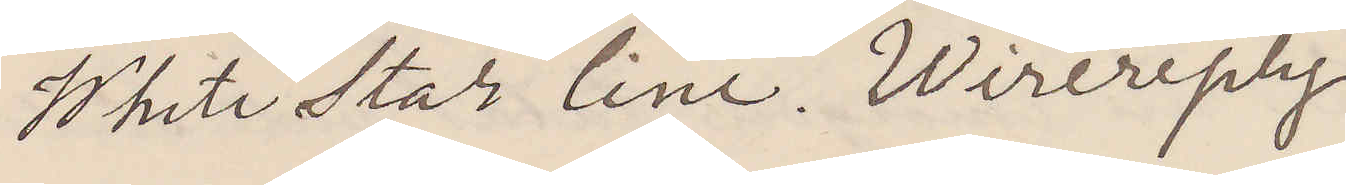White Star line. Wirereplay.
